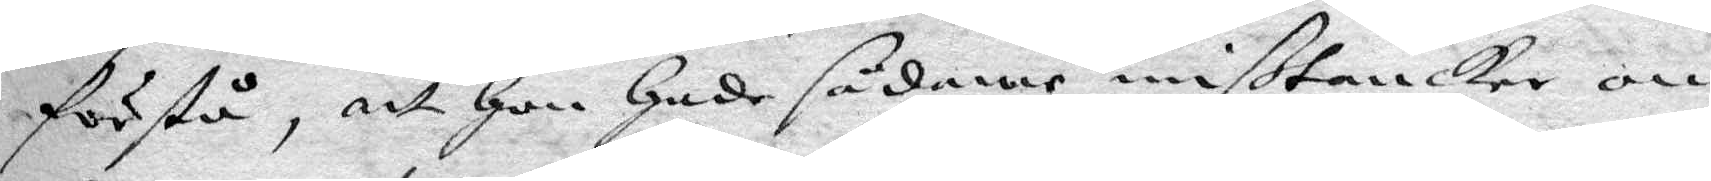förstå, att hon hade sådanne mißtankar om
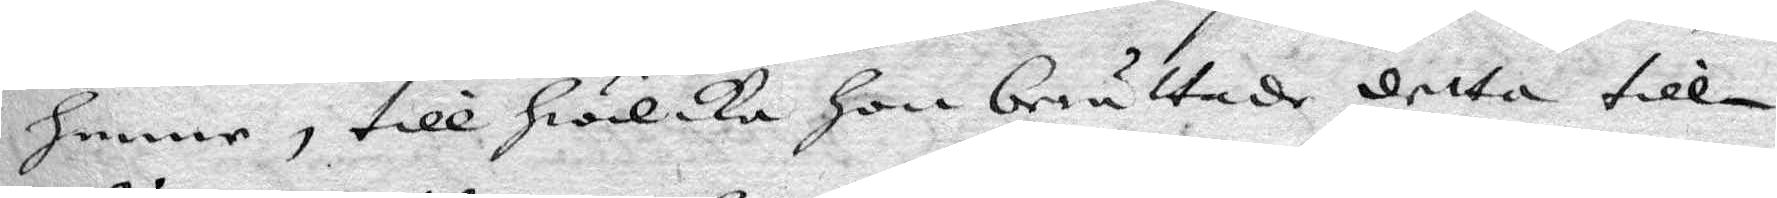henne, till hwilka hon berättade detta till¬
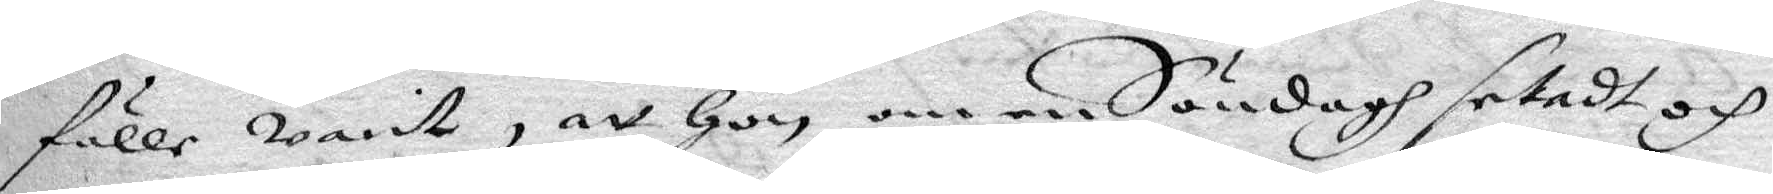fälle warit, att hon om en Söndagh setadt och
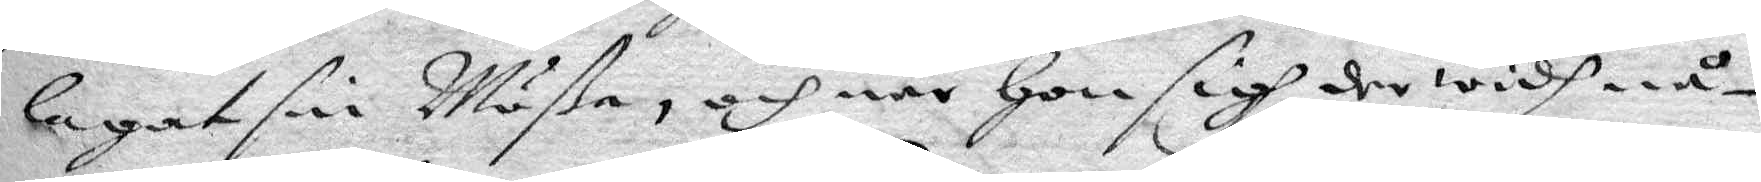lagat sin Mößa, och när hon sigh der widh nå¬
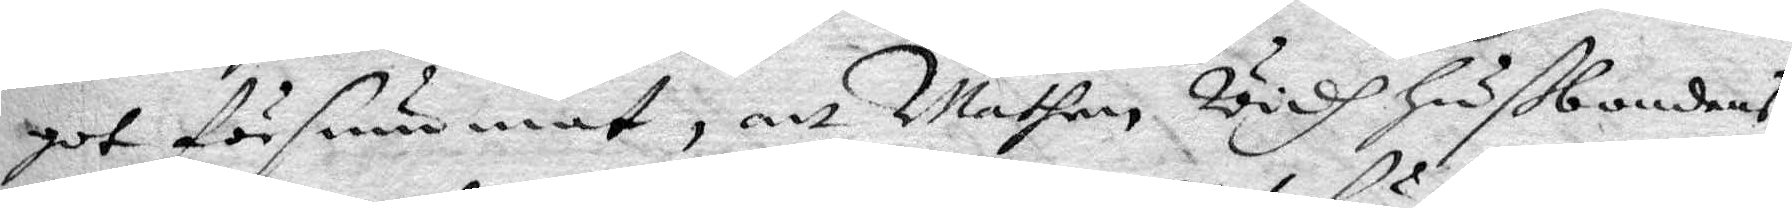got försummat, att Mathen Widh hußbondens
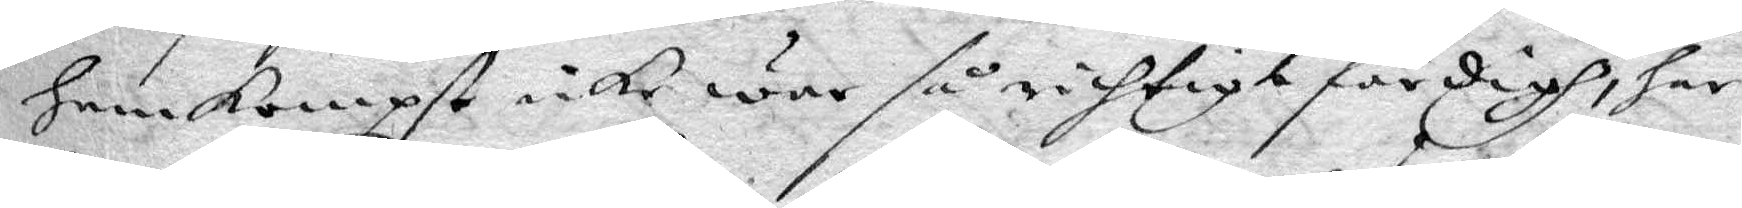hemkompst icke war så richtigt färdigh, har
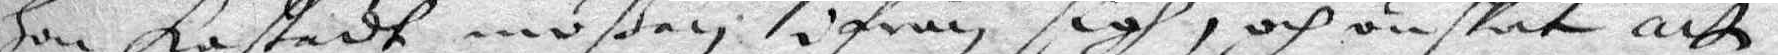hon kastadt mößan ifrån sigh, och önskat att
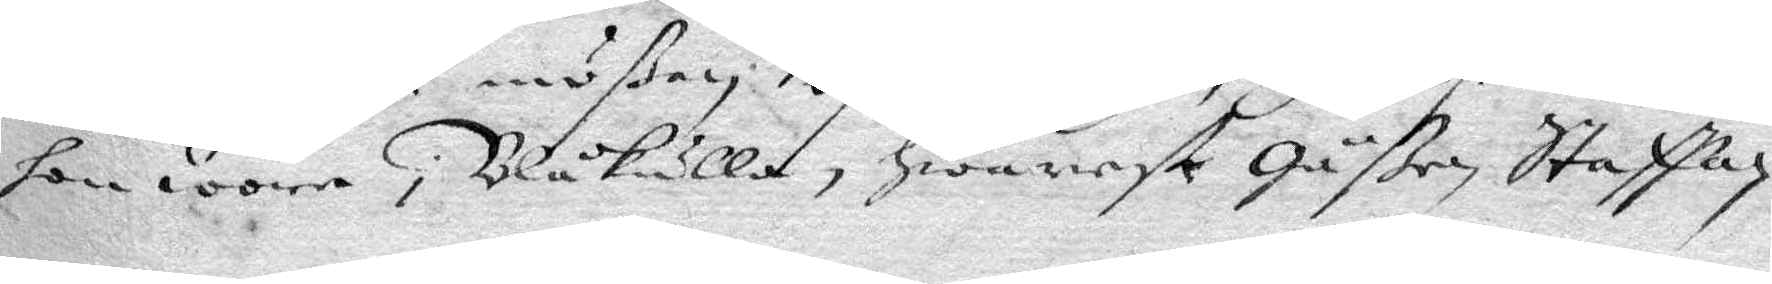hon wore i Blåkulla, hwarest Gåßen Staffan
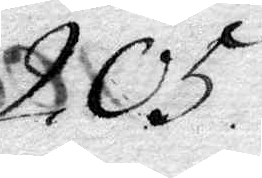205.
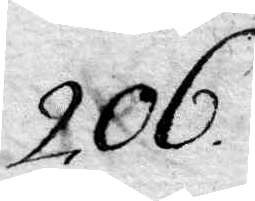206.
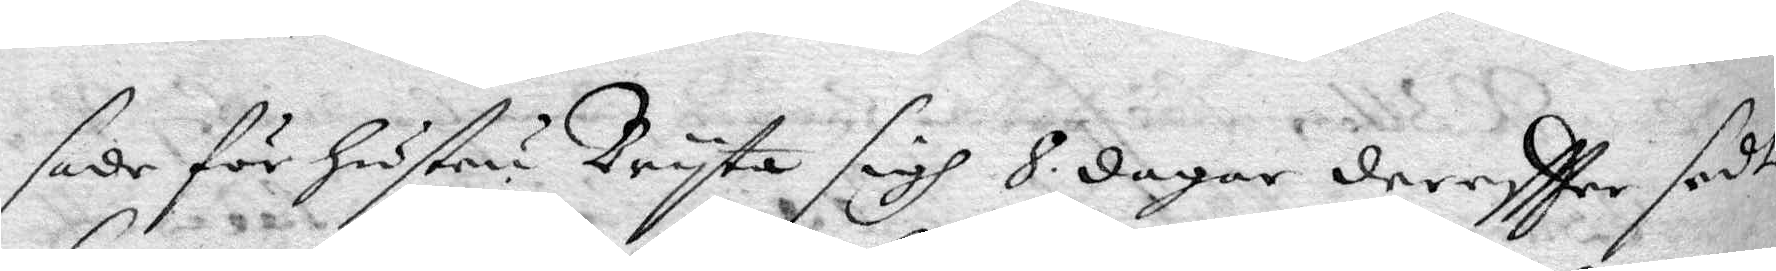sade för hustru Bryta sigh 8. dagar dereftter sedt
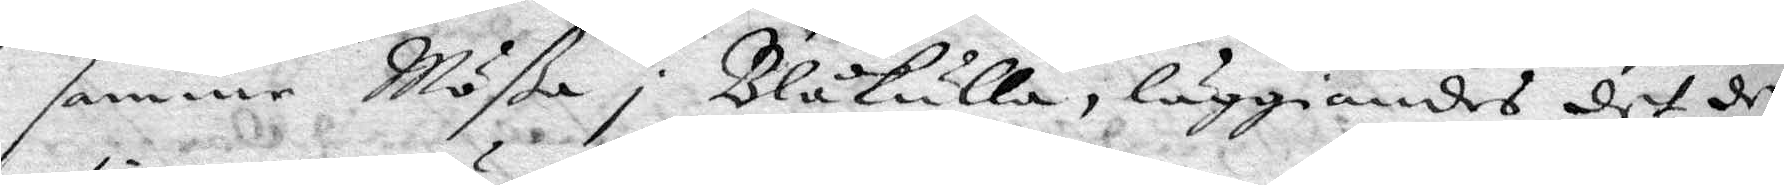samme Mößa i Blåkulla, läggiandes det der
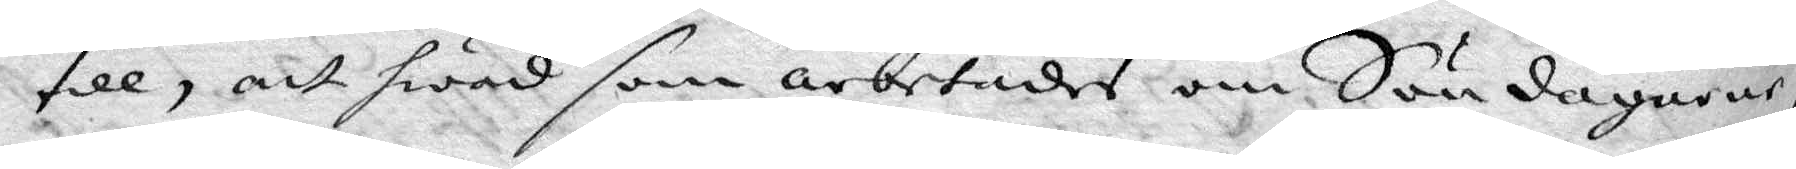till, att hwad som arbetades om Söndaharne,
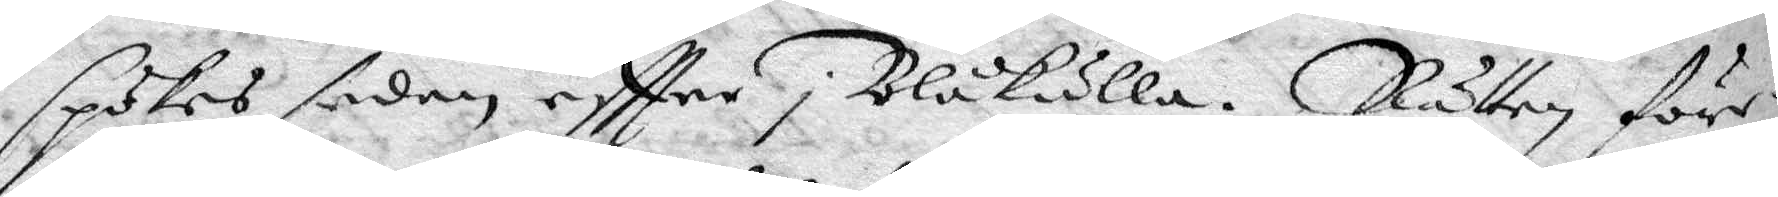spökes sedan eftter i Blåkulla. Rätten före¬
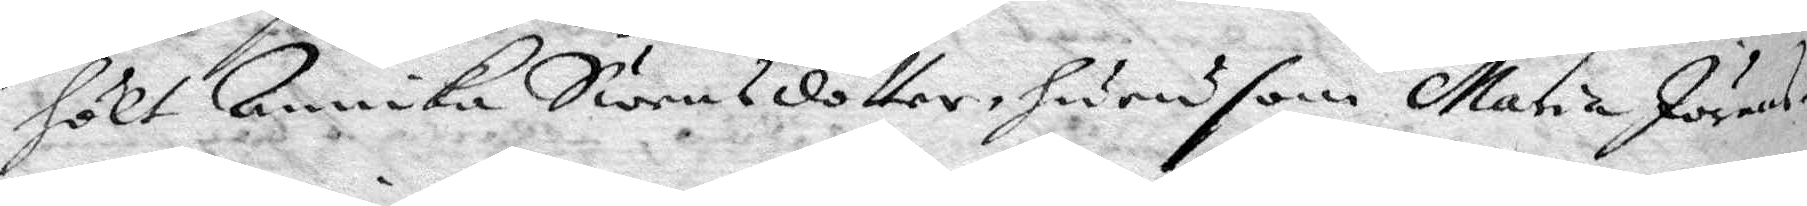hölt Annika Swensdotter, hurusom Maria Jörans¬
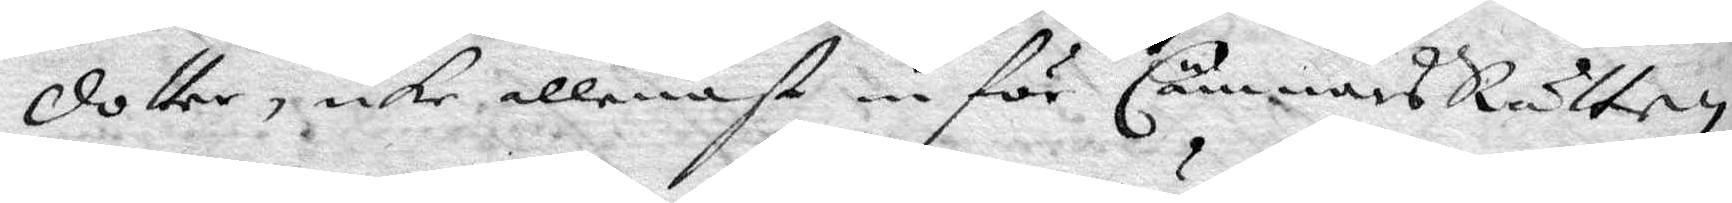dotter, icke allenast inför CämnärsRätten
